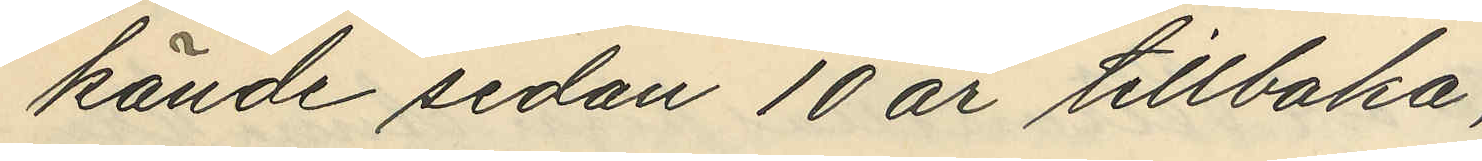kände sedan 10 år tillbaka,
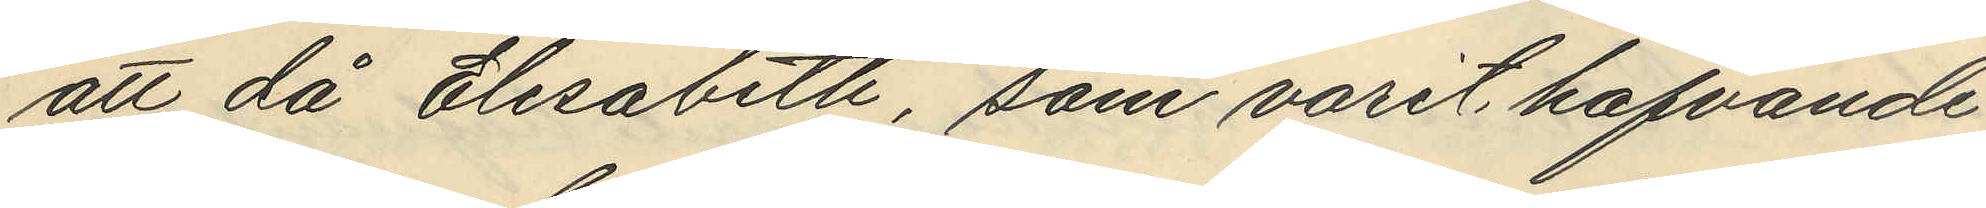att då Elisabeth, som varit hafvande
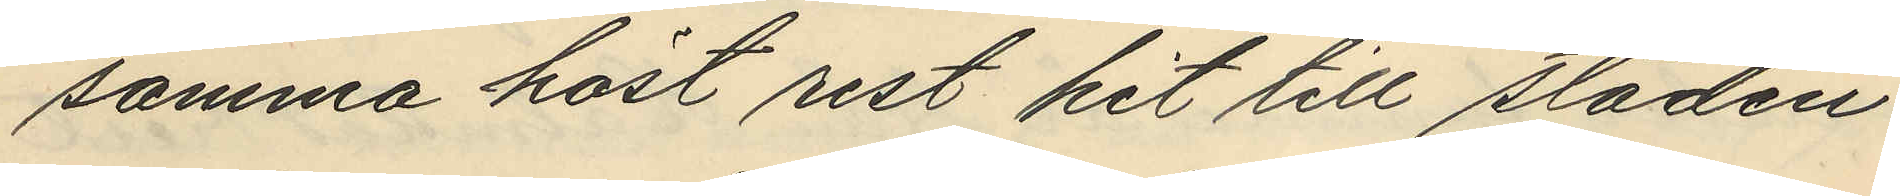samma höst rest hit till staden,
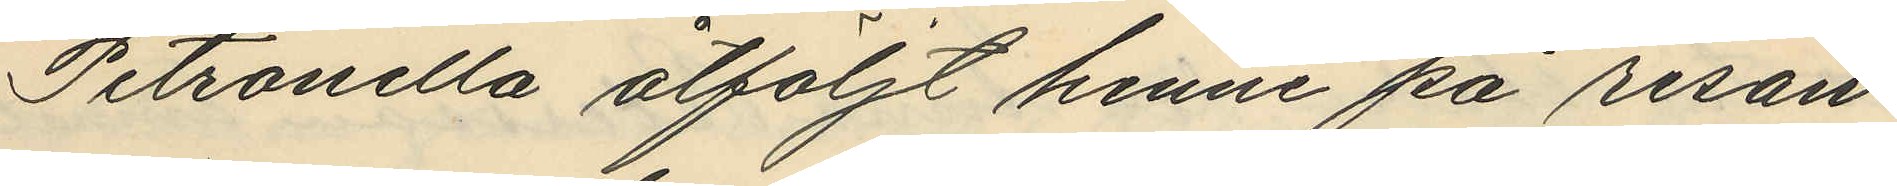Petronella åtföljt henne på resan
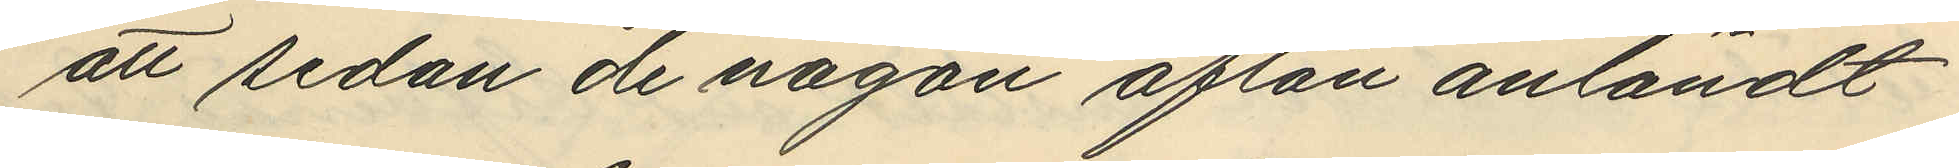att sedan de någon afton anländt
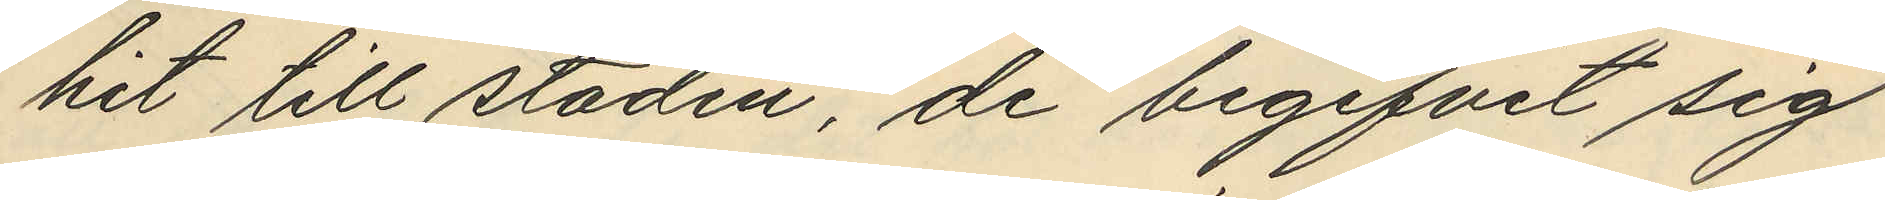hit till staden, de begifvit sig
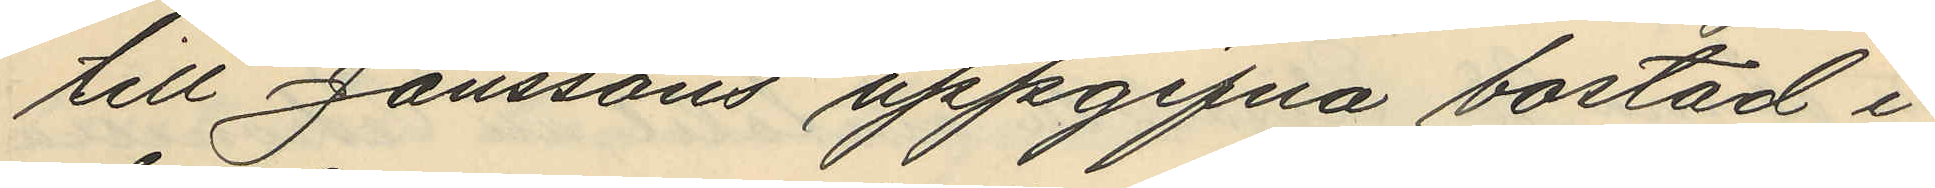till Janssons uppgifna bostad i
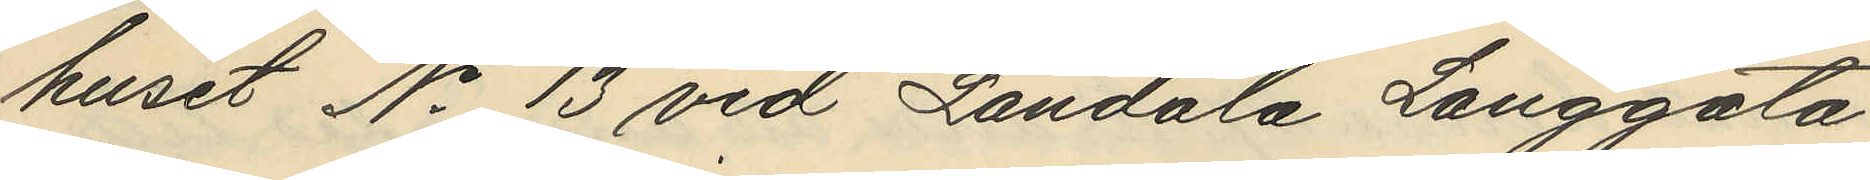huset No 13 vid Landala Långgata
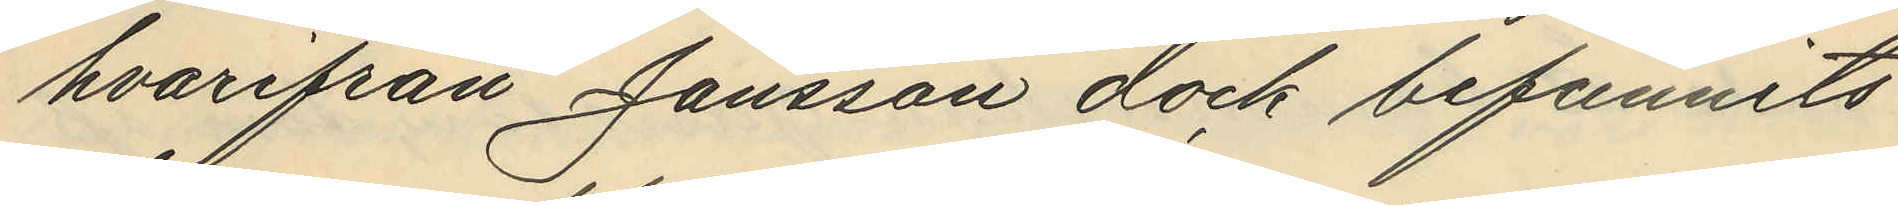hvarifrån Jansson dock befunnits
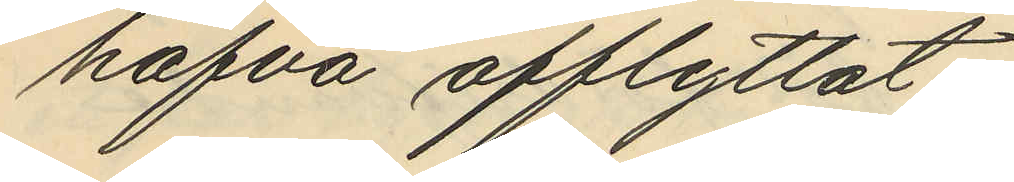hafva afflyttat;
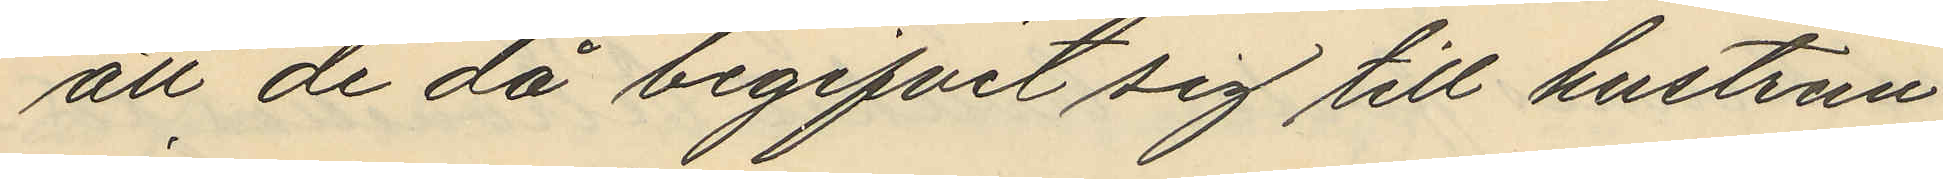att de då begifvit sig till hustrun
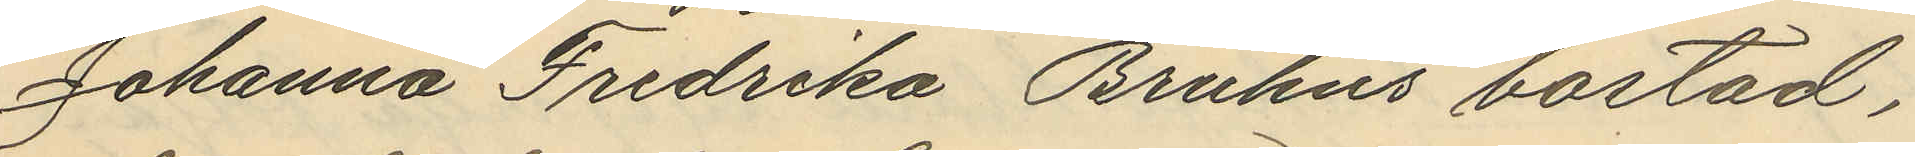Johanna Fredrika Bruhns bostad,
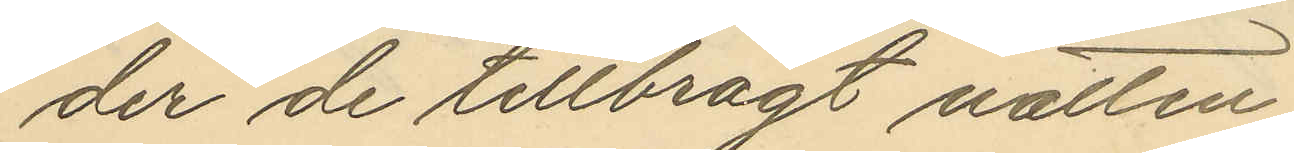der de tillbragt natten;
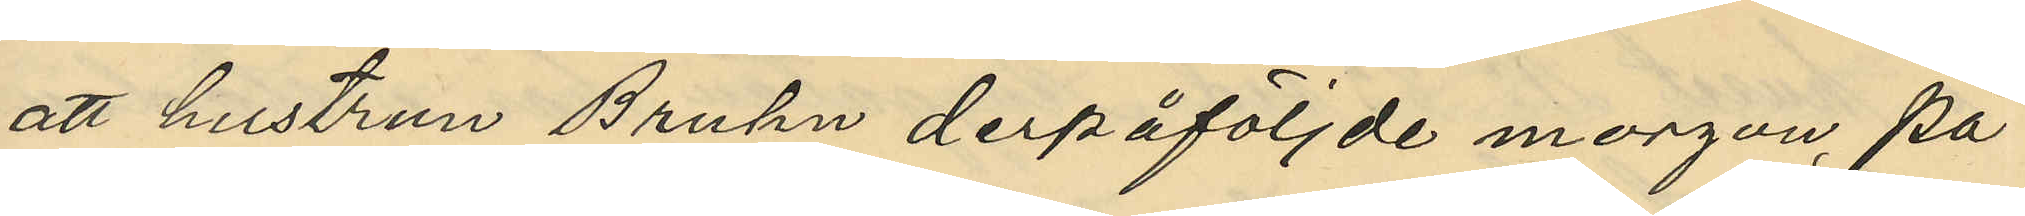att hustrun Bruhn derpåföljde morgon, på
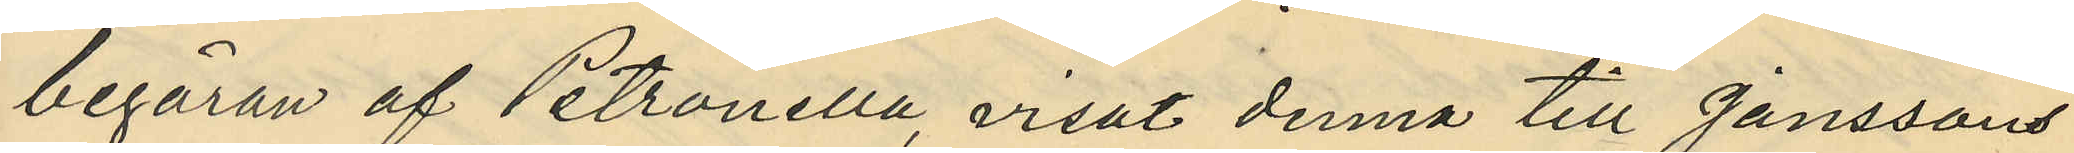begäran af Petronella, visat denna till Janssons
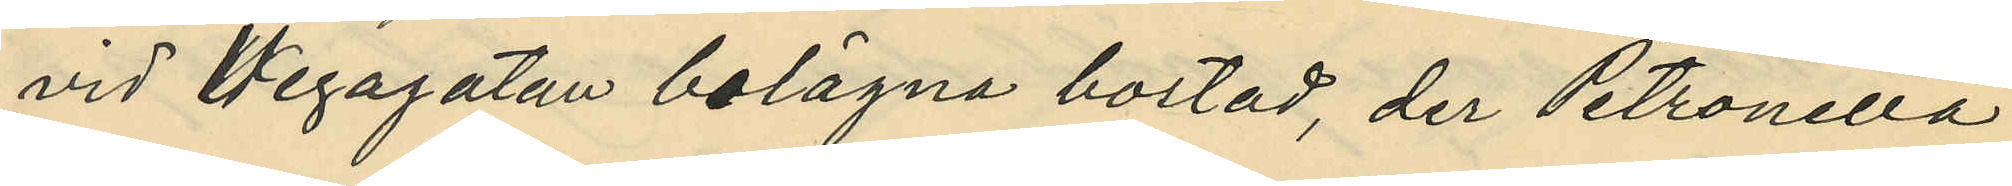vid Wegagatan belägna bostad, der Petronella
